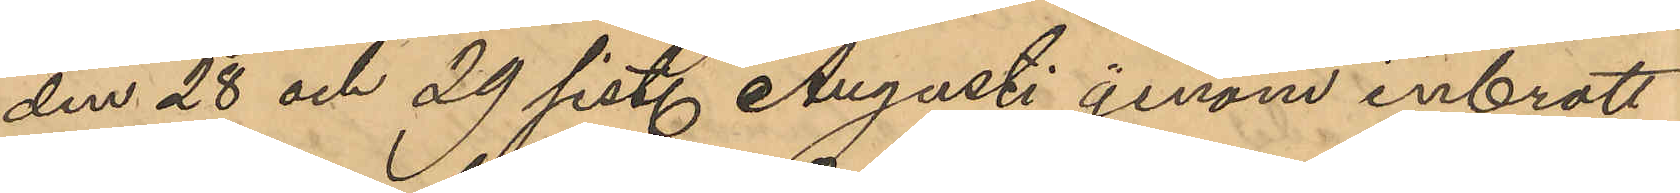den 28 och 29 sist. Augusti genom inbrott
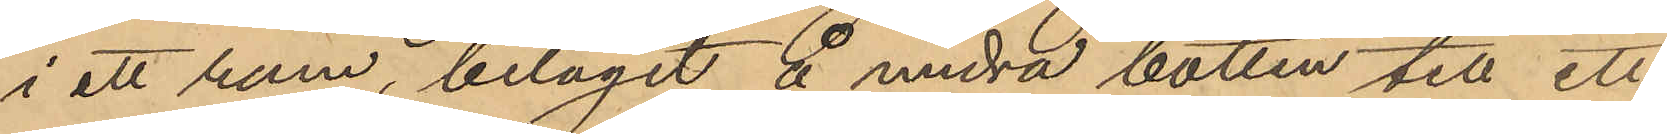i ett rum, beläget å andra botten till ett
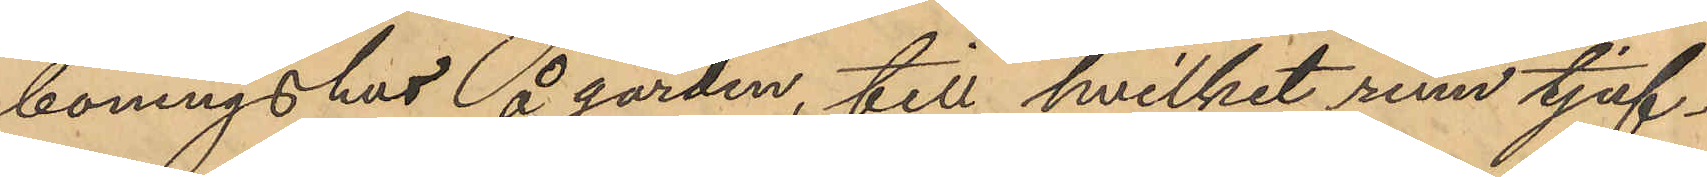boningshus å gården till hvilket rum tjuf¬
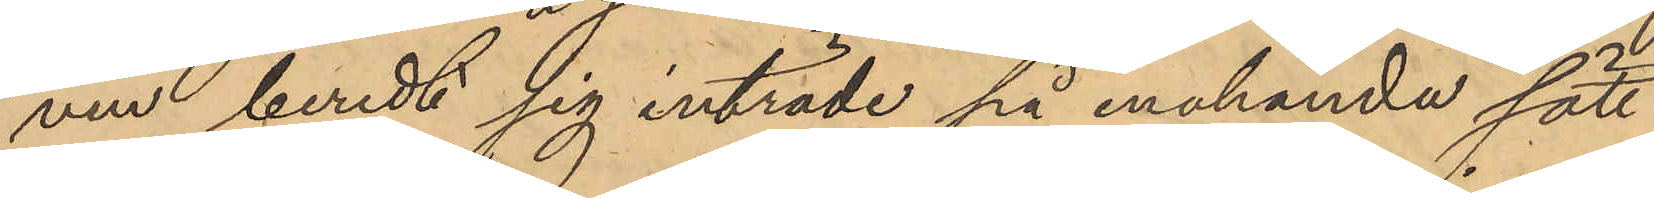ven beredt sig inträde på enahanda sätt
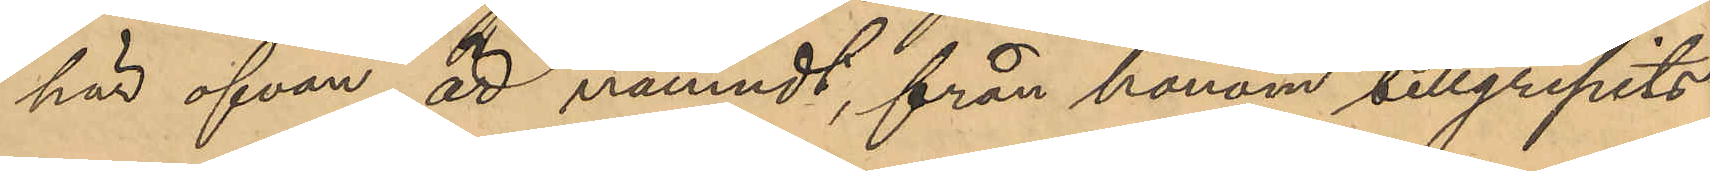här ofvan är nämnt, från honom tillgripits
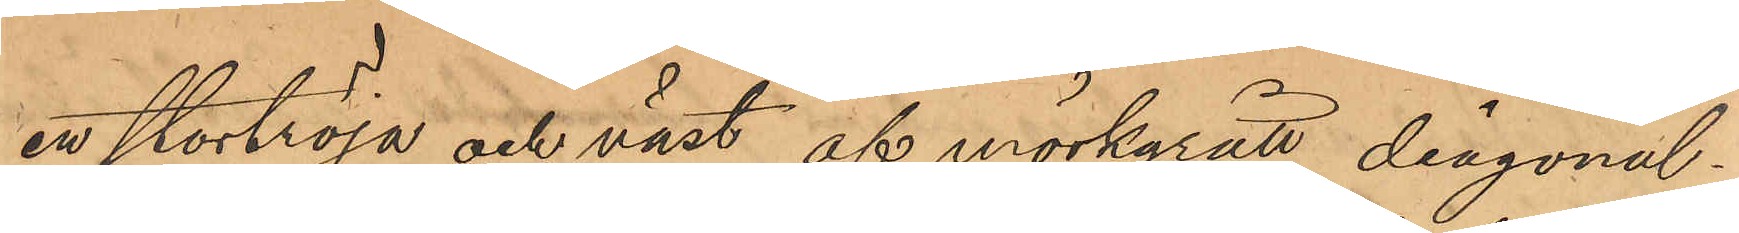en stortröja och väst af mörkgrått diagonal¬
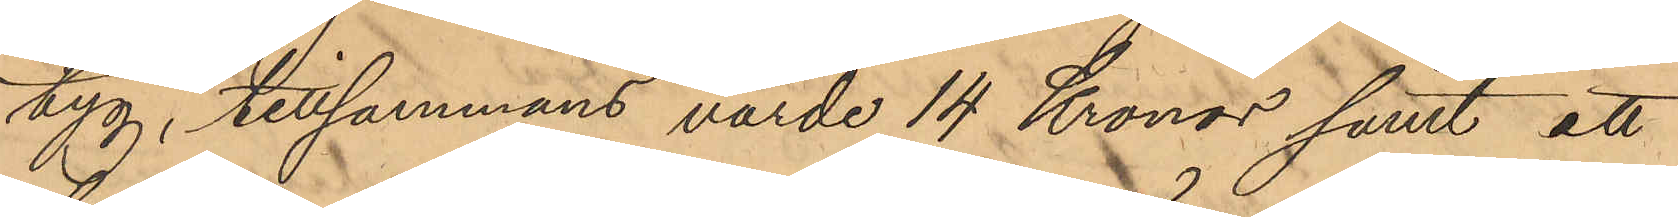tyg, tillsammans värde 14 Kronor samt att
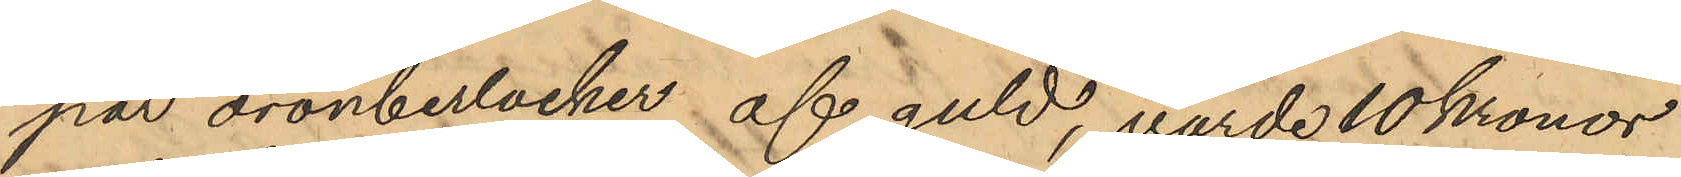par öronberlocker af guld, värde 10 Kronor
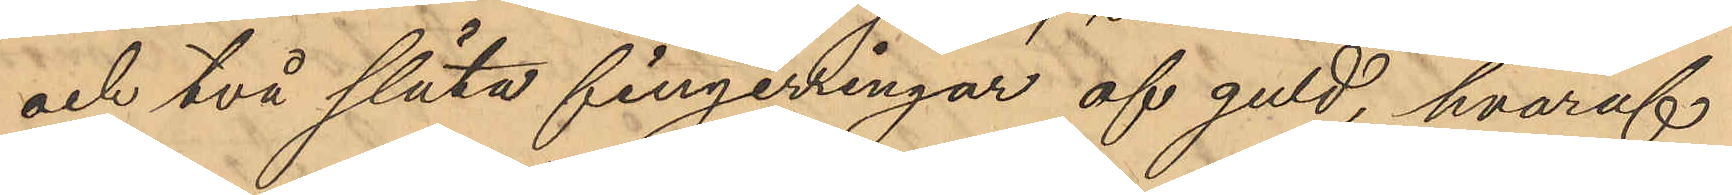och två släta fingerringar af guld, hvaraf
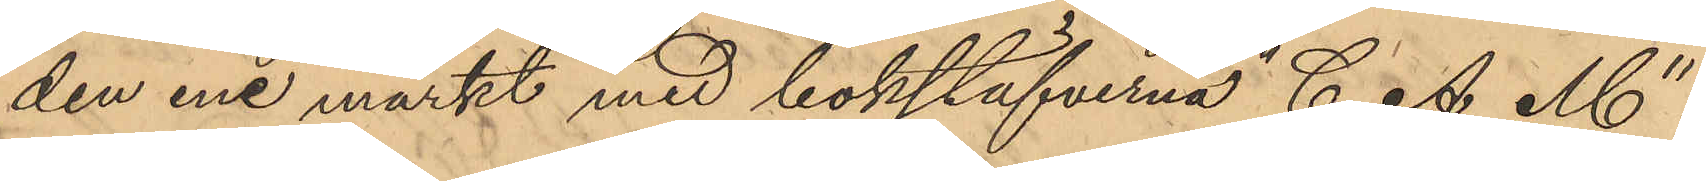den ene märkt med bokstäfverna "C. A. M"
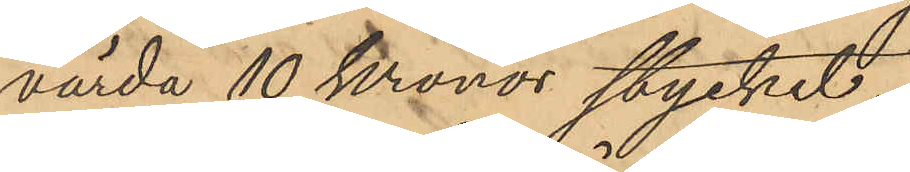värda 10 Kronor stycket;
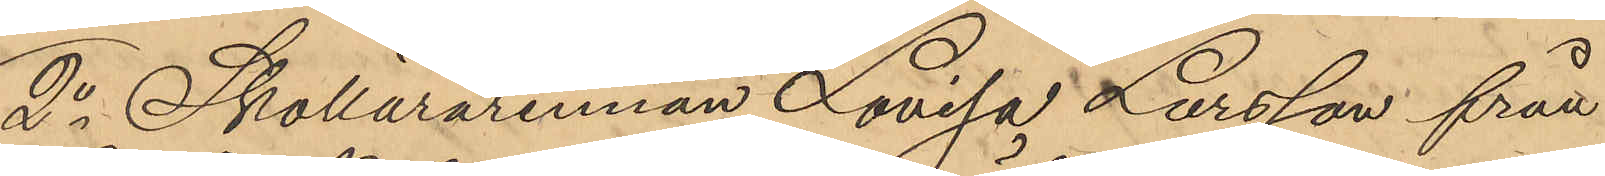2o Skollärarinnan Lovisa Larsson från
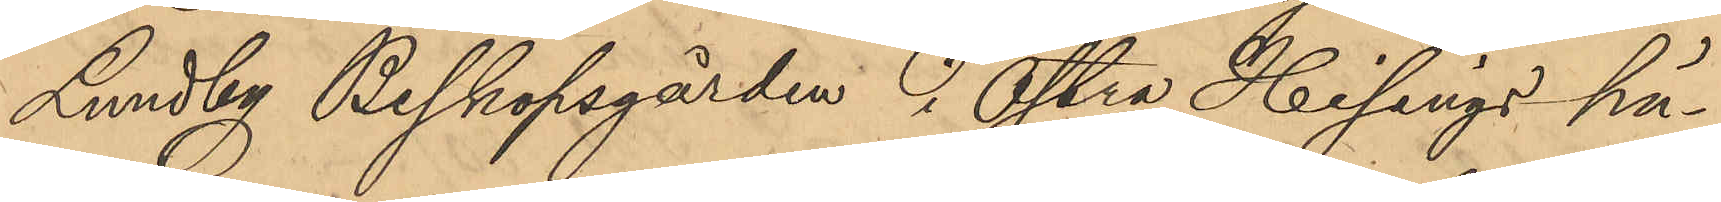Lundby Biskopsgården i Östra Hisings hä¬
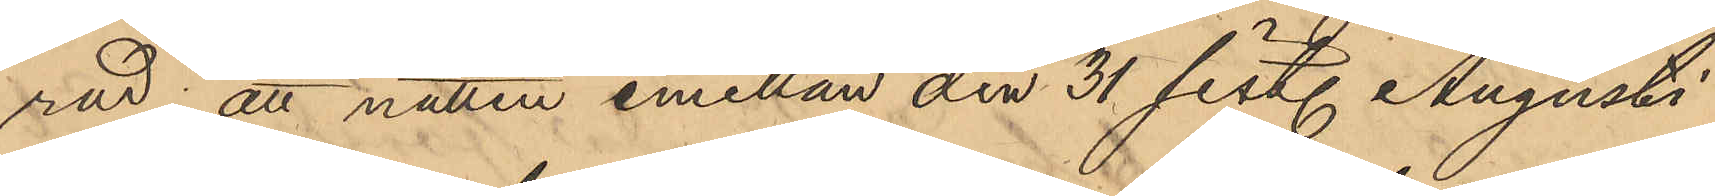rad; att natten emellan den 31 sist. Augusti
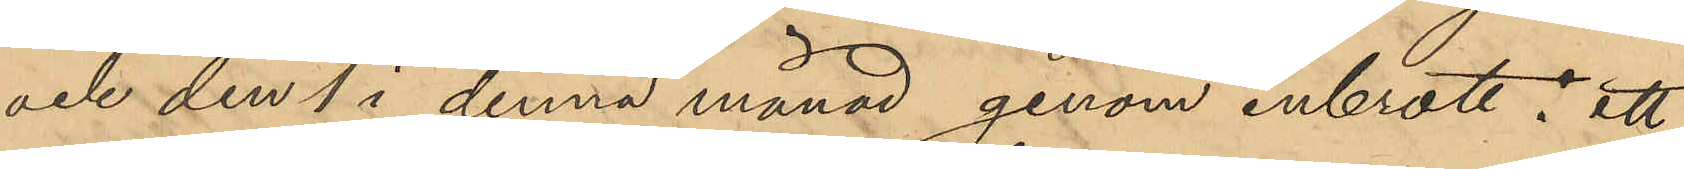och den 1 i denna månad genom inbrott i ett
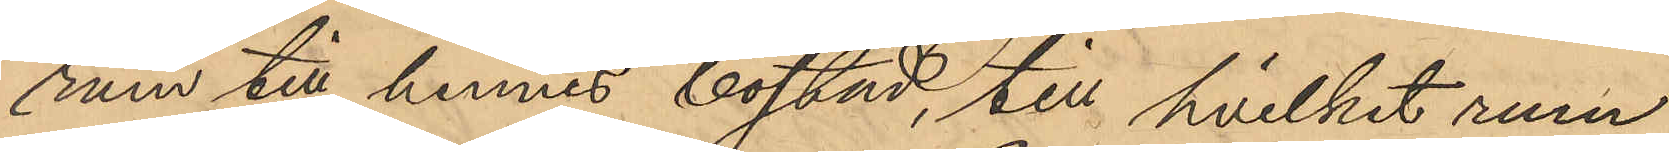rum till hennes bostad, till hvilket rum
